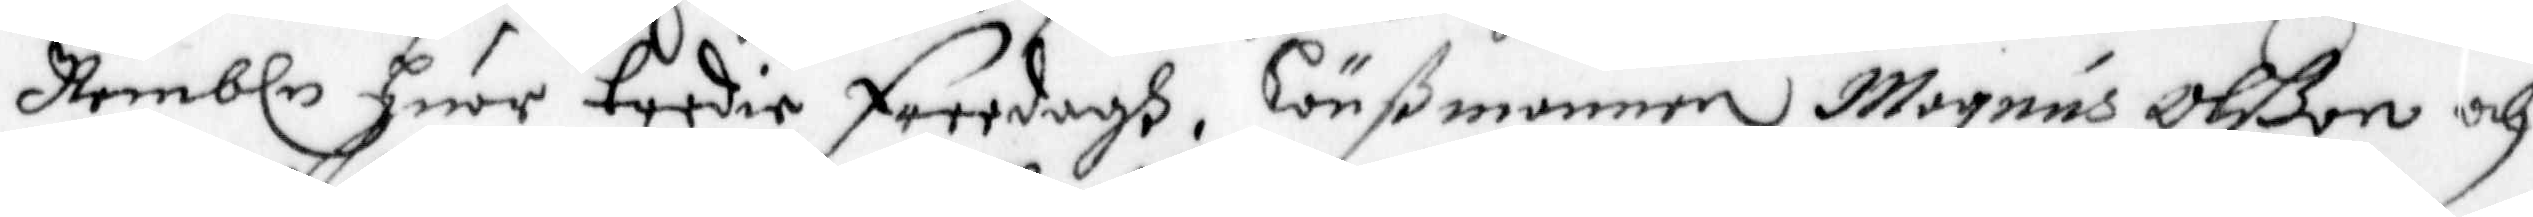Nembln Huar tredie freedagh, Länßmannen Magnus Olßon och
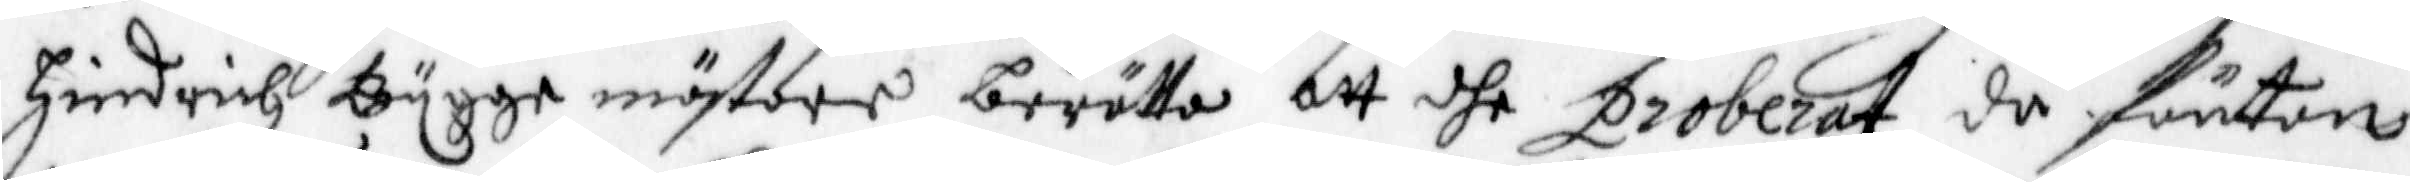Hindrich Bygge mästare berätta, att dhe proberat då förton
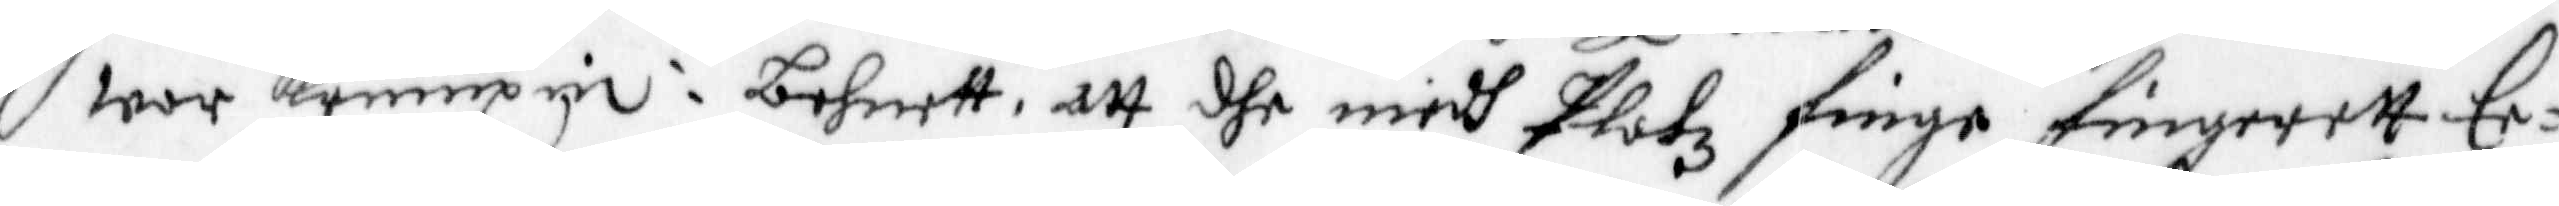war krumpin i behnet, att dhe medh Platz finge fingrett Ee¬
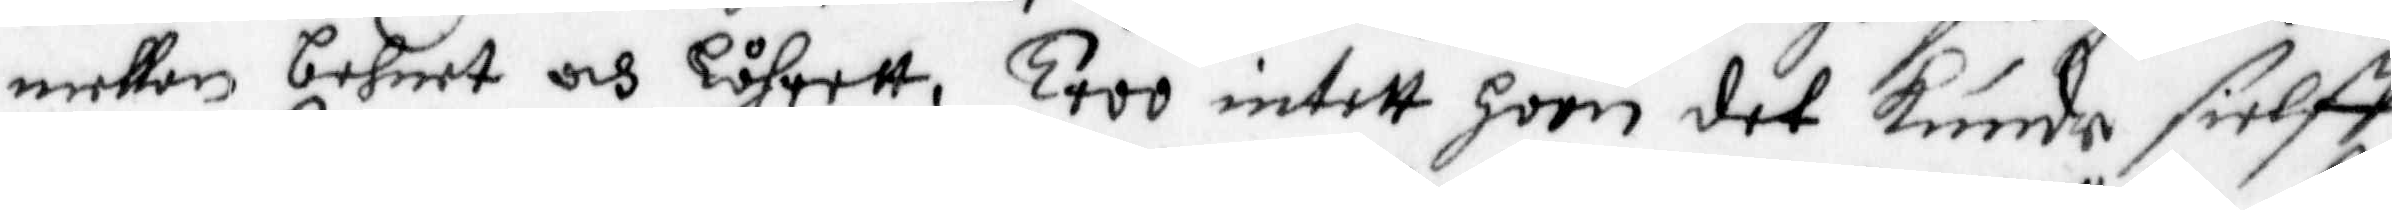mellan behnet och Låhrett, Troo intett hoon det Kunde sielff
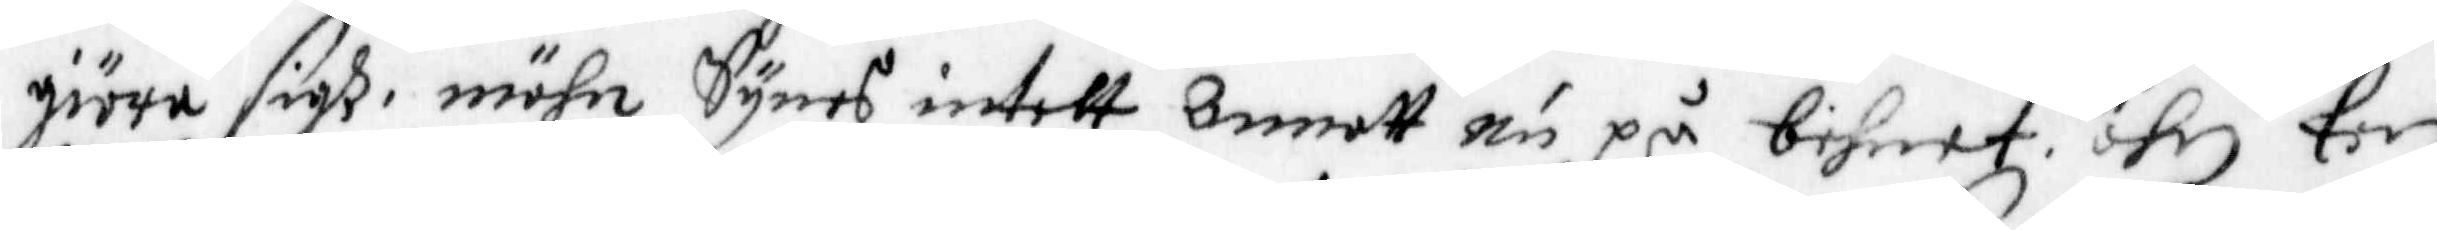giöra sigh, mähn Synes intett annatt nu på behnet, ähn Een
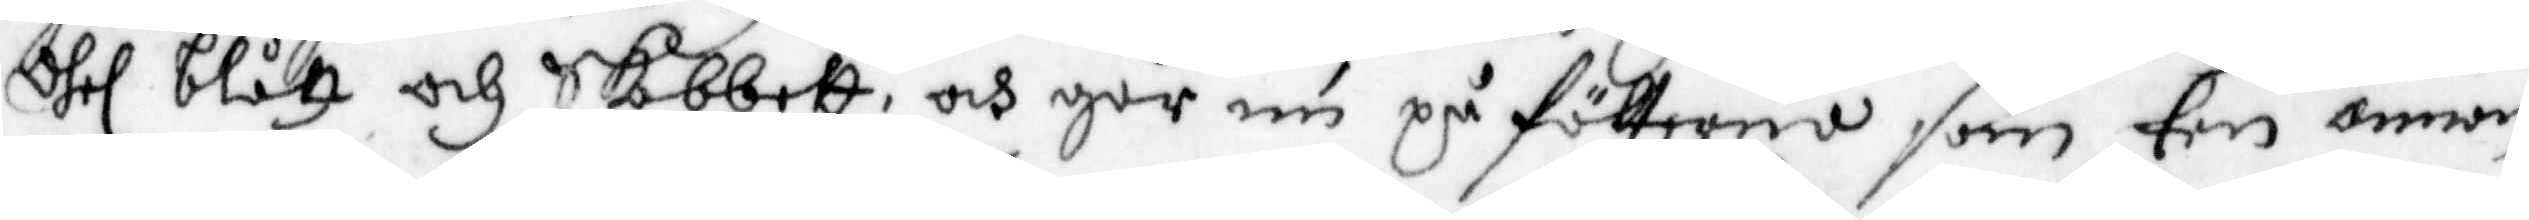dhel blått och Skobatt, och går nu på fötterna som een annan
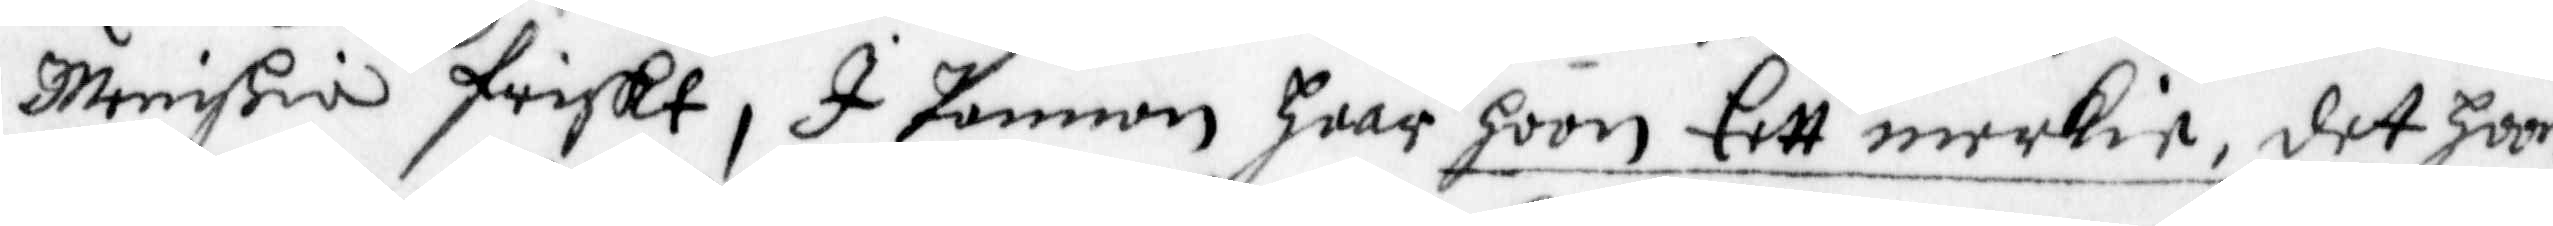Menniskia friskt, I Pannan haar hoon Eett merkie, det hoon
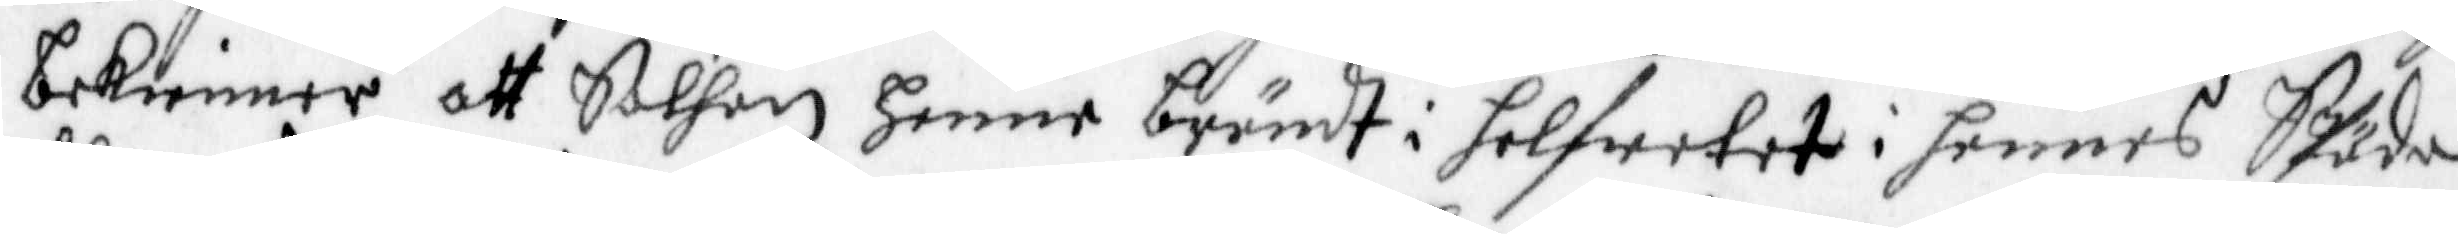bekienner, att Sathan henne brändt i helfwetet i hennes SPäda
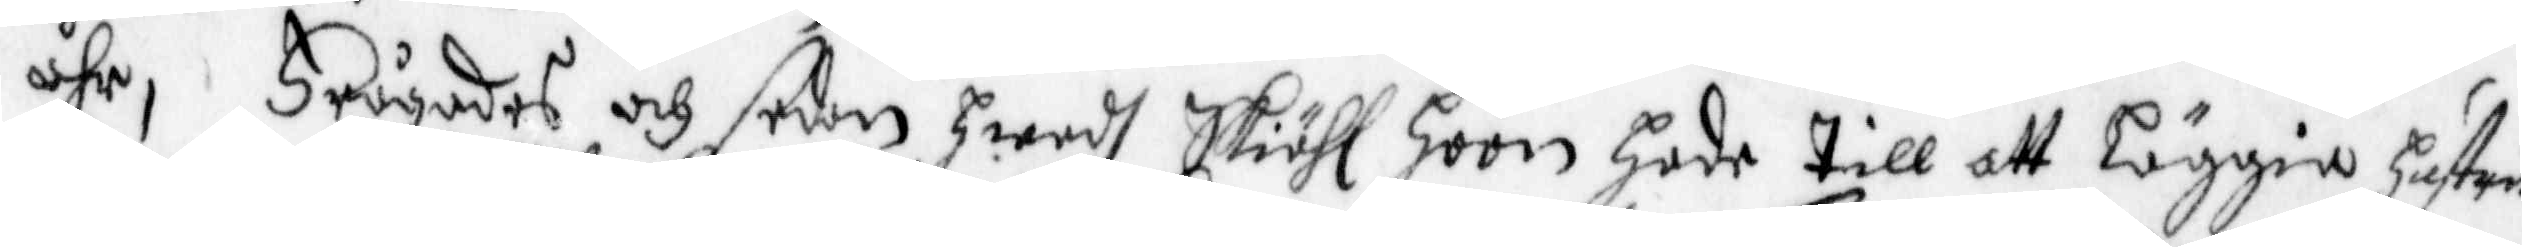åhr, Frågades och sedan hwadh Skiähl hoon Hade till att läggia hustru
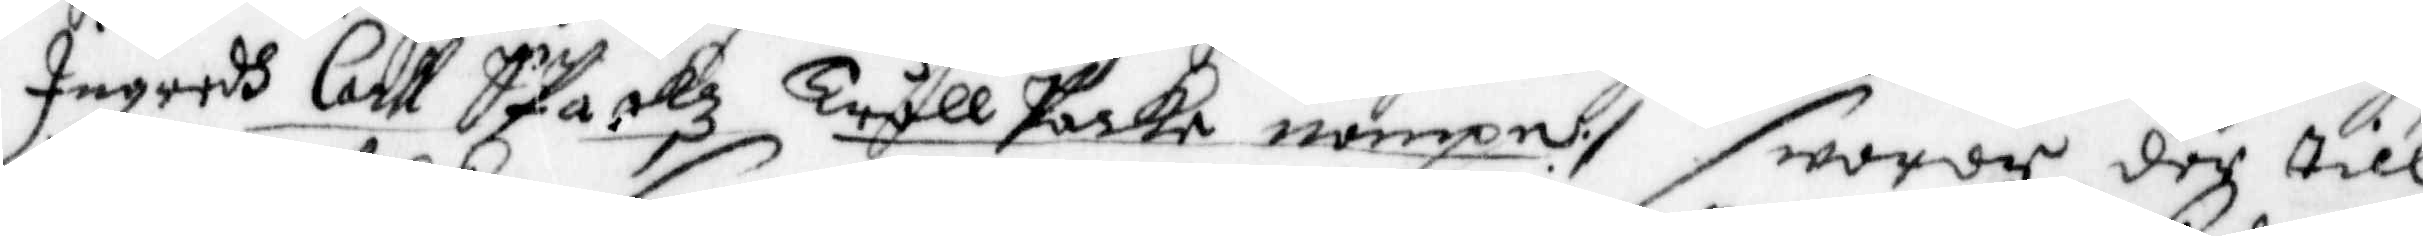Ingredh Carl Spackz Trållpacka nampn:/ swarde der till
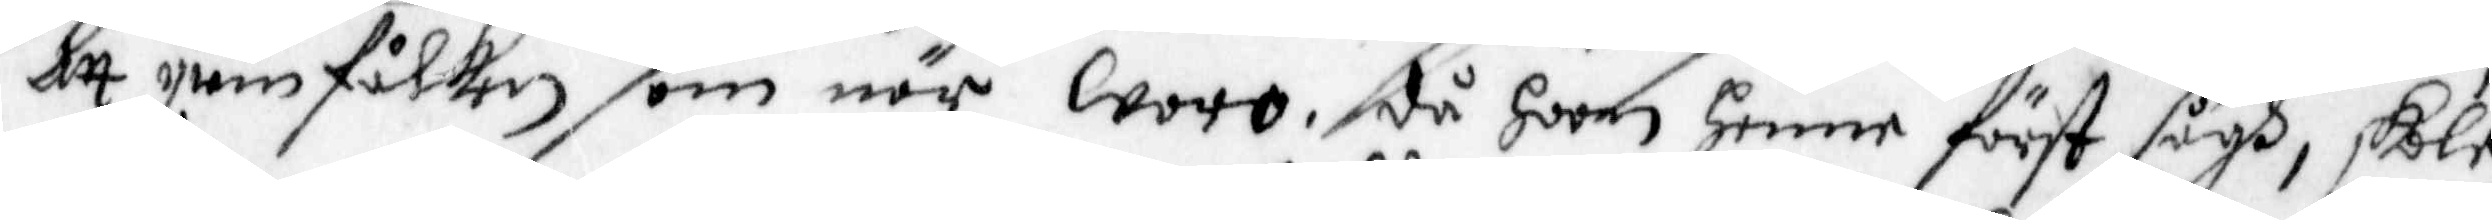att qwinfolken som när woro, då hoon Henne först sågh, skole
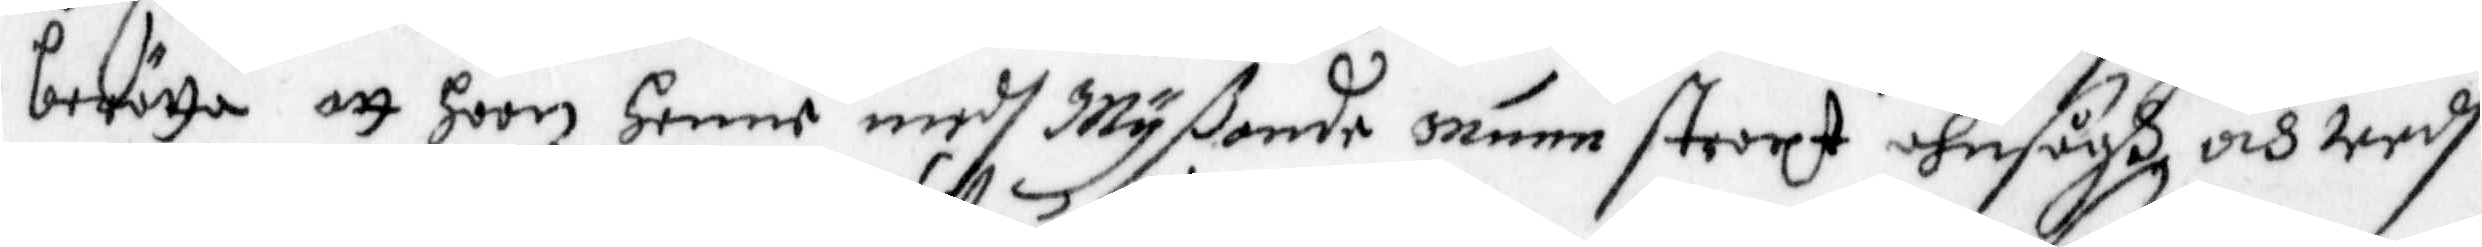berätta att hoon Henne medh Myßande munn straxt ahnsågh och wedh
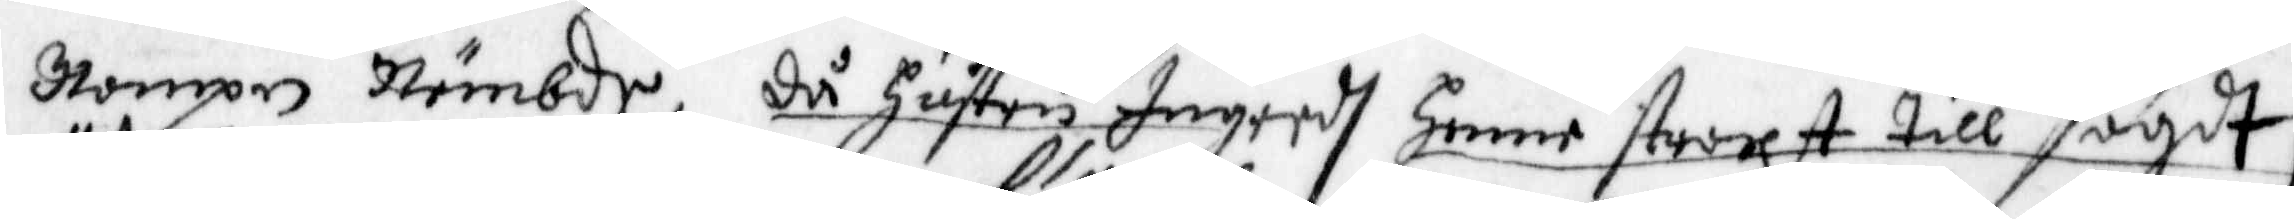Nampn Nämbde, då Hustru Ingredh Henne straxt till sagdt,
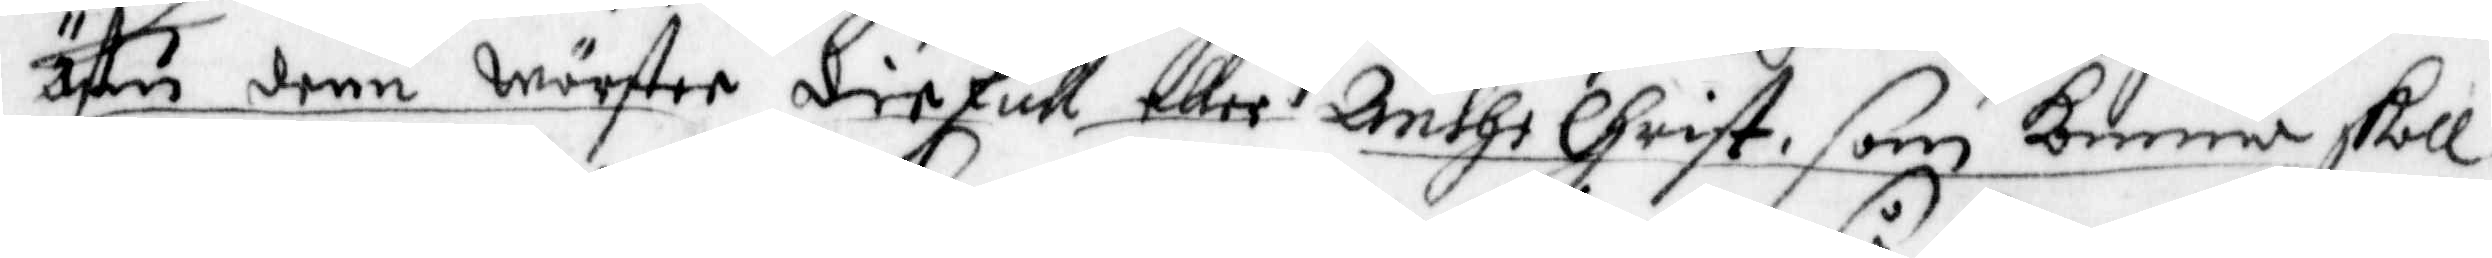ähre den wärster diefull, eller Anthi Christ, som Komma skall
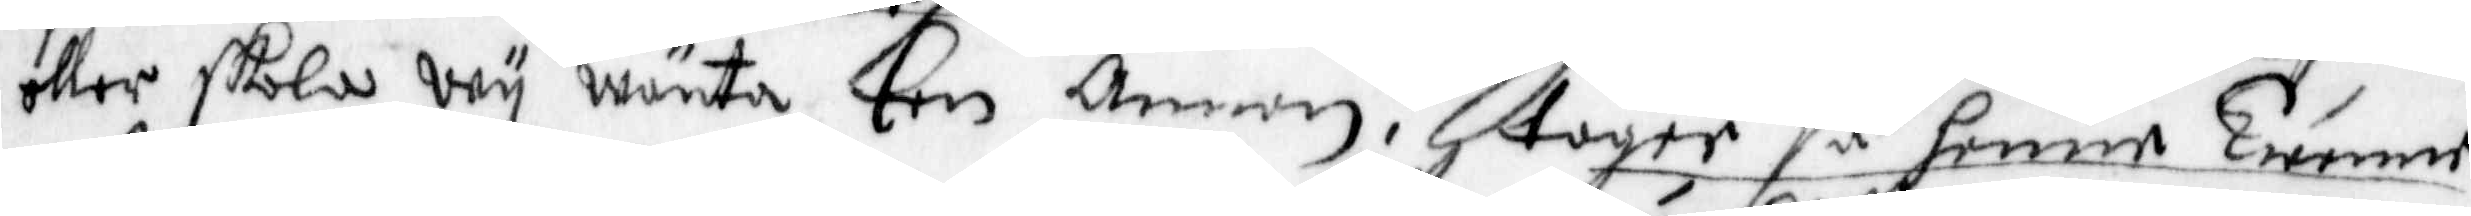eller skola wy wänta Een Annan, tager så henne Twenne
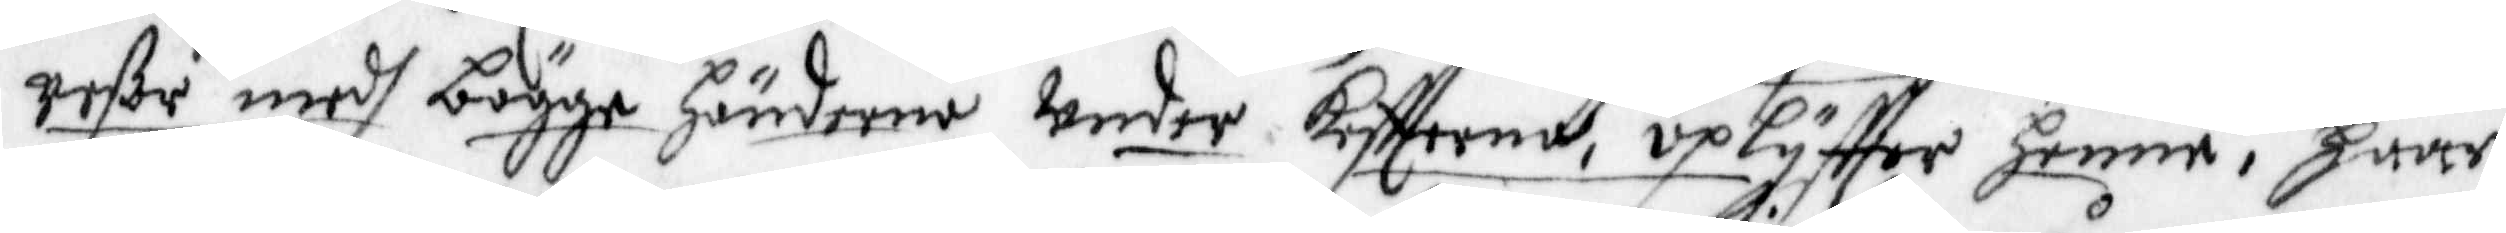reßor medh bägge händerne Under Keftterne, uplyffter henne, Haar
